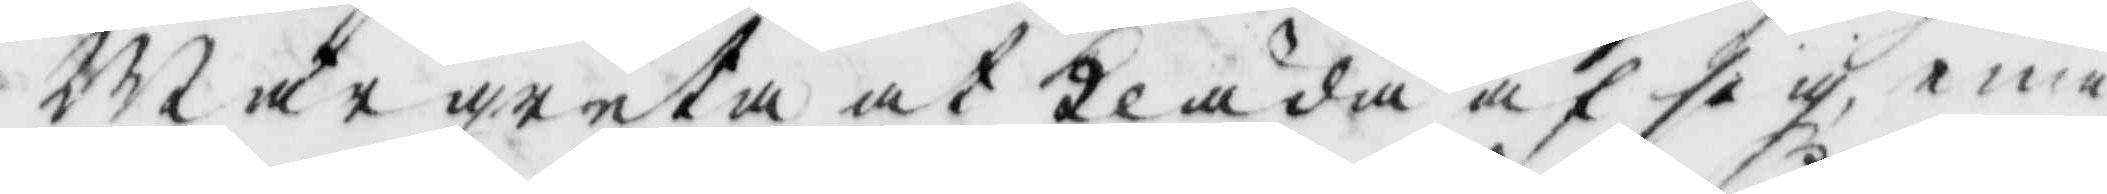Margreta at Kläda af sig eme¬
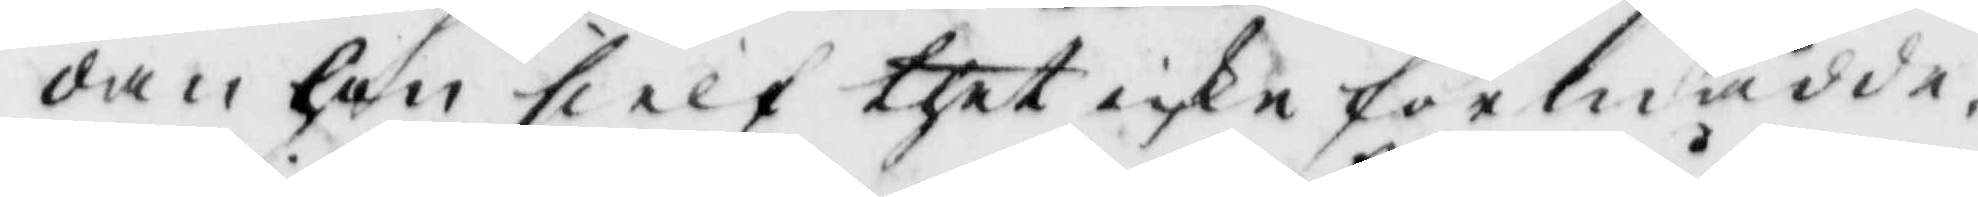dan hon sielf thet icke förmådde. 
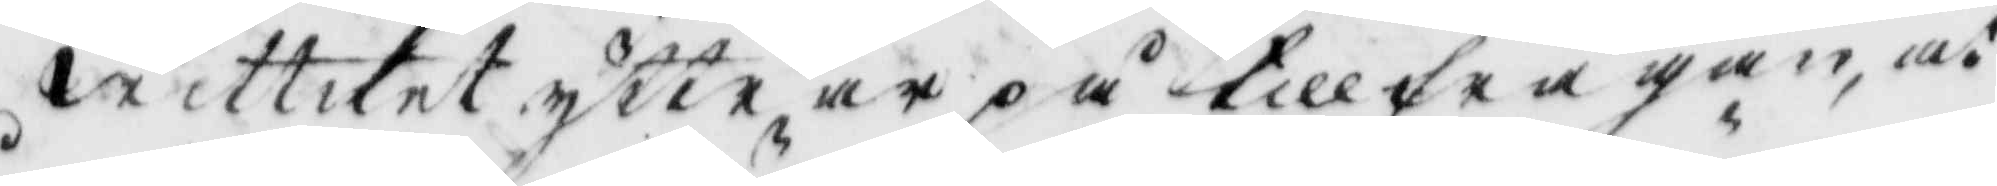Wittnet yttrar på tillfrågan, at
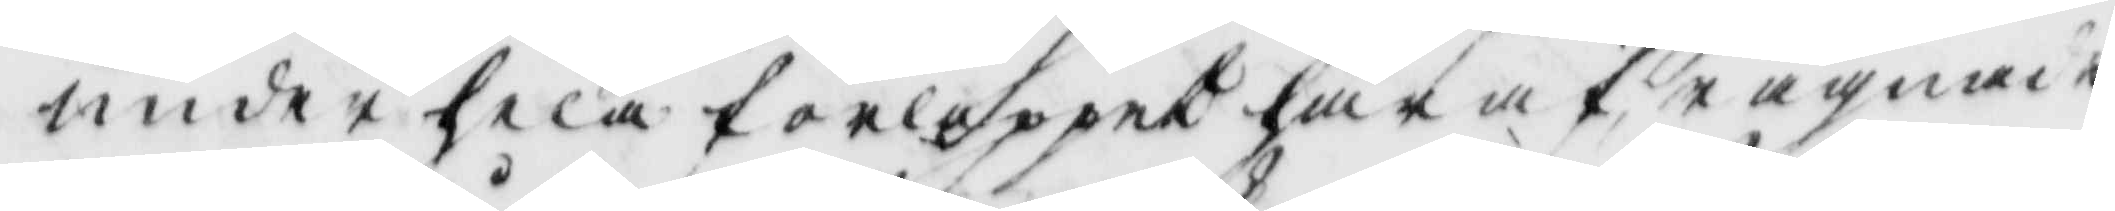under hela förloppet här häraf rägnade
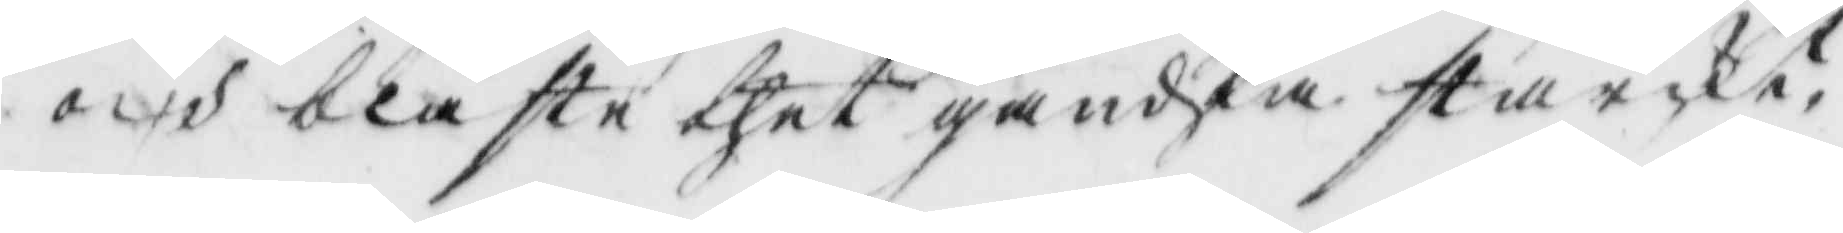och blåste thet ganska starckt.
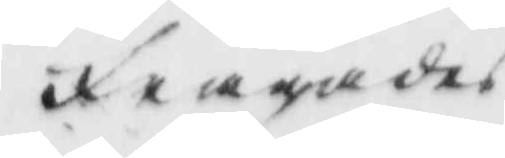frågades
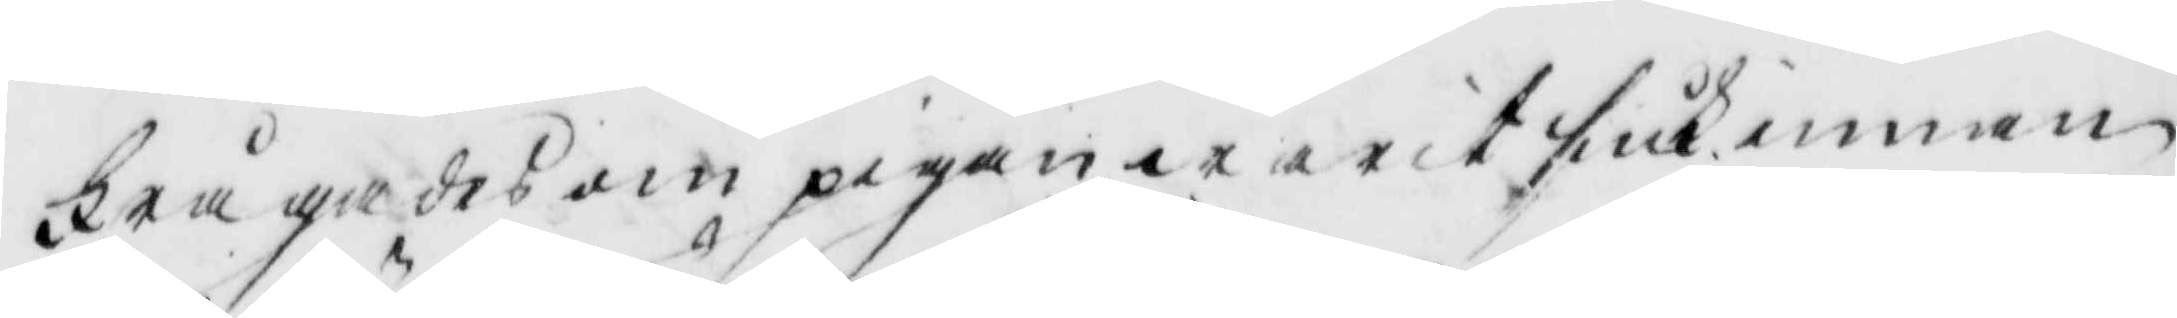Frågades om pigan warit siuk innan
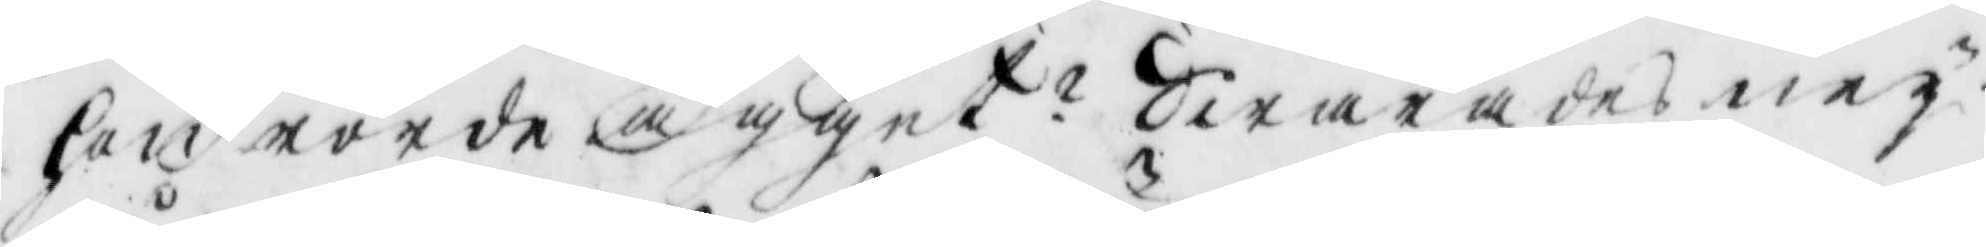hon rörde ägget? Swarades ney.
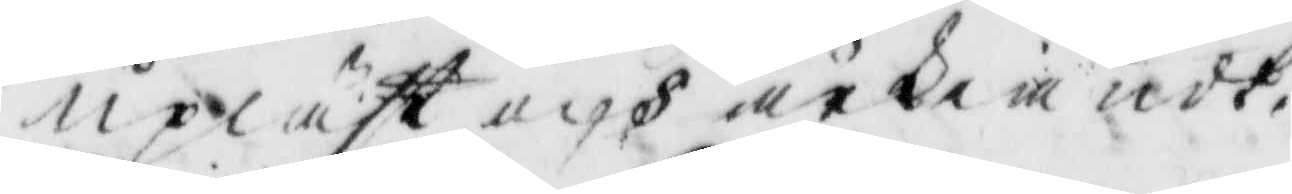Upläst och ärkiänst.
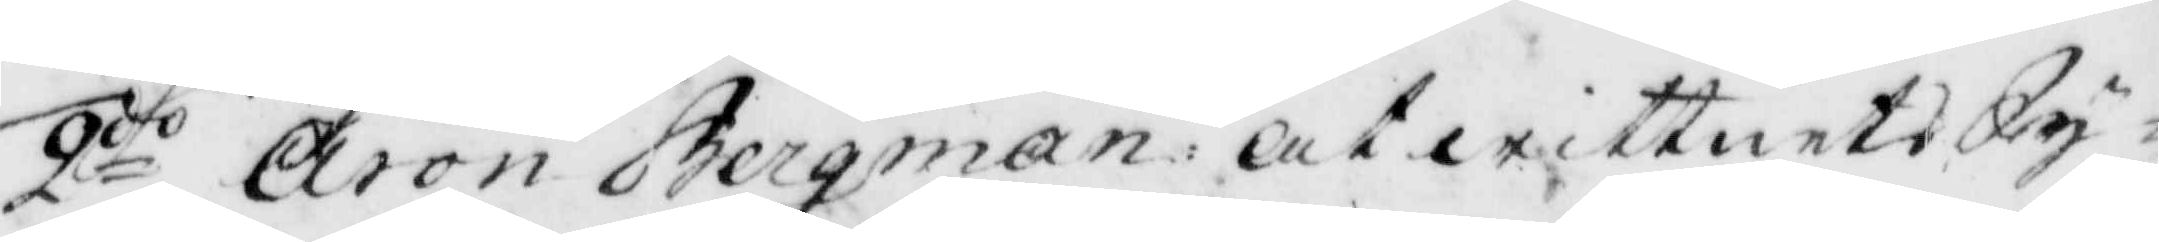2oo Aron Bergman: att wittnets Sy¬
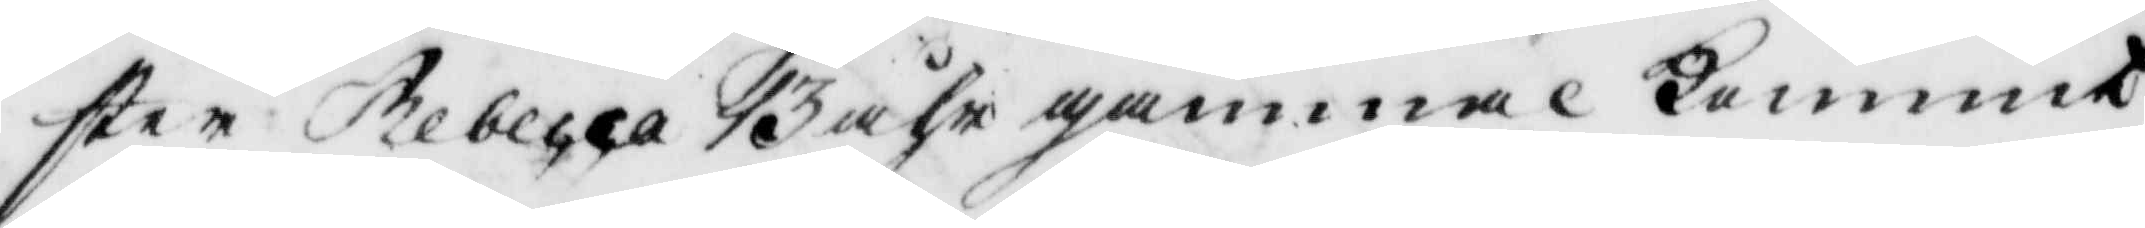ster Rebecca 13 åhr gammal kommit
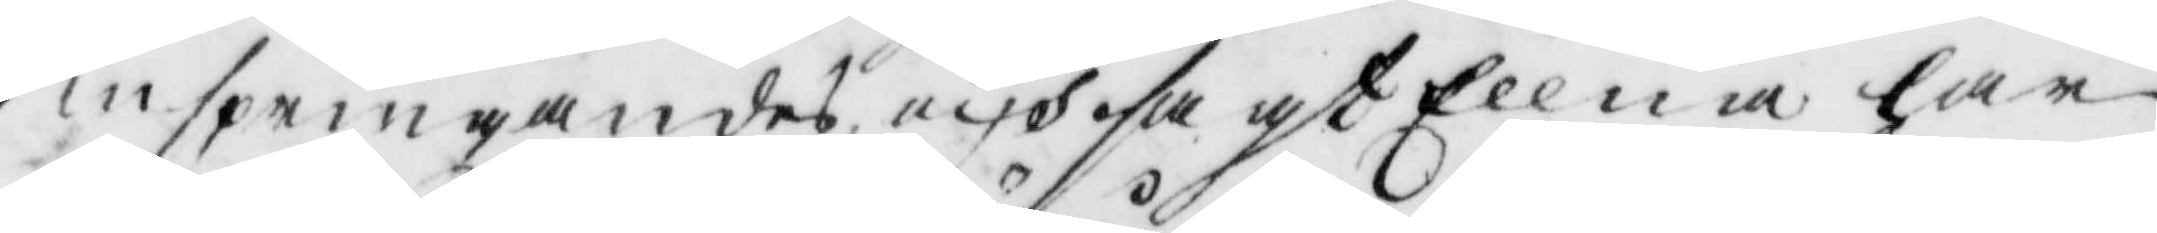inspringandes och sagt Ellna har
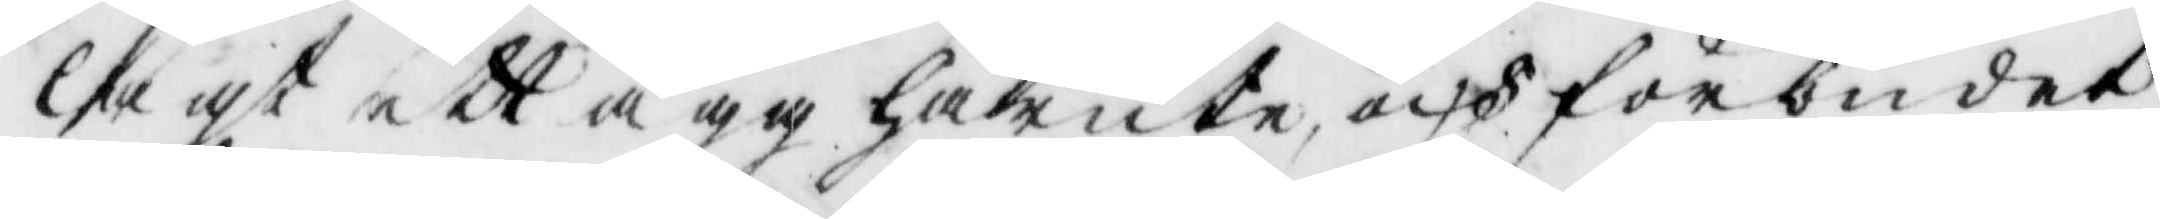lagt ett ägg härute, och förbudat
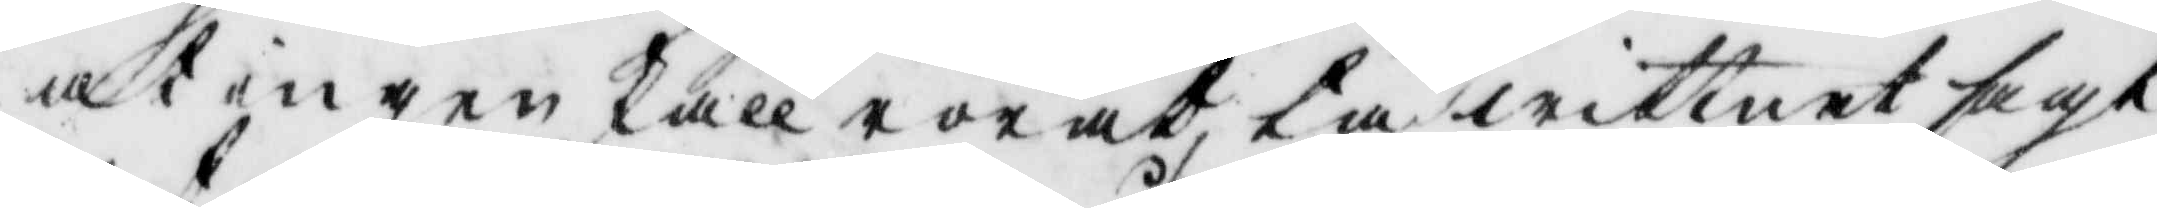at ingen skall rörat, tå wittnet sagt
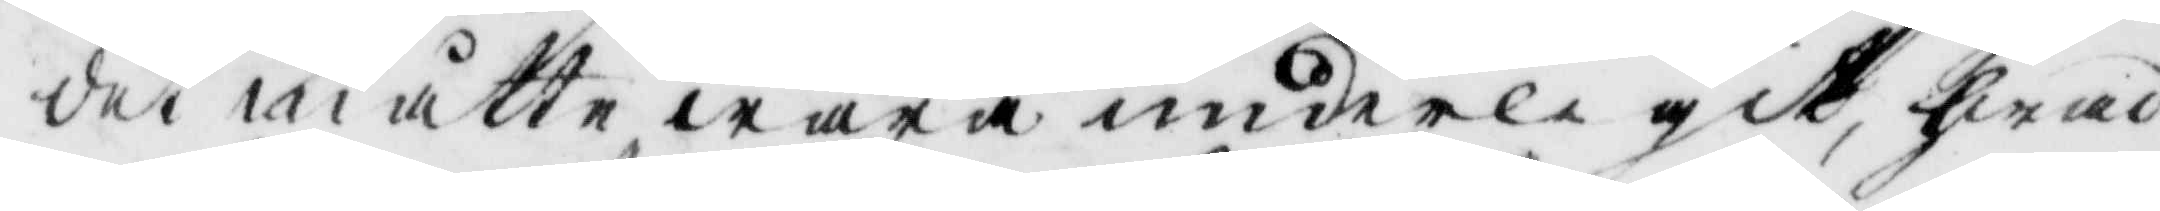det måtte wara underligit, hwad
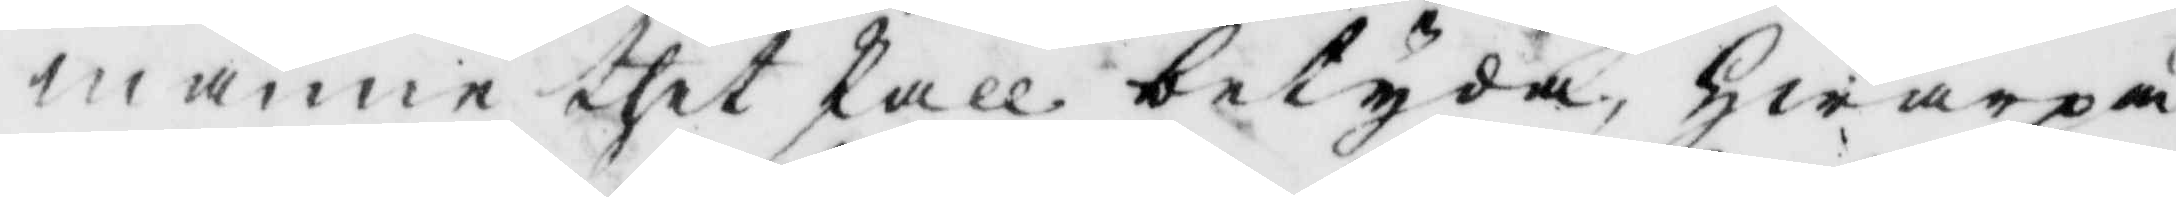månne thet skall betyda, hwarpå
